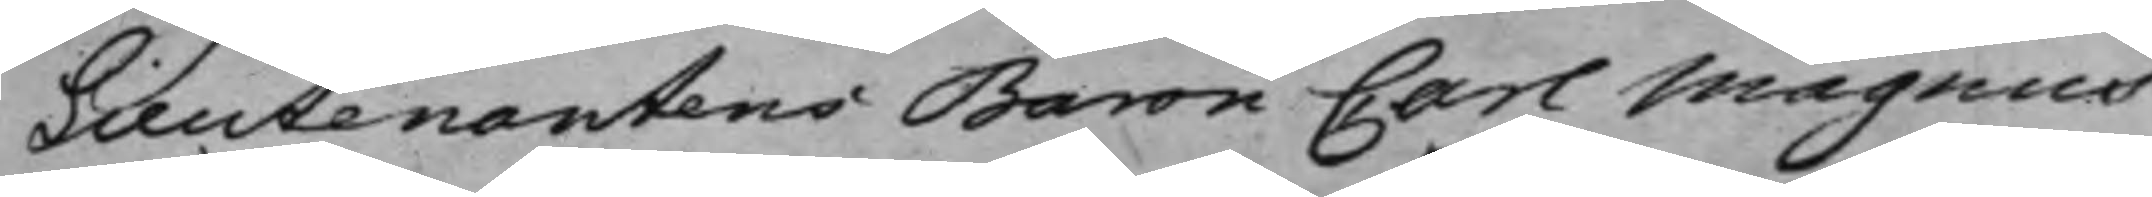Lieutenantens Baron Carl Magnus
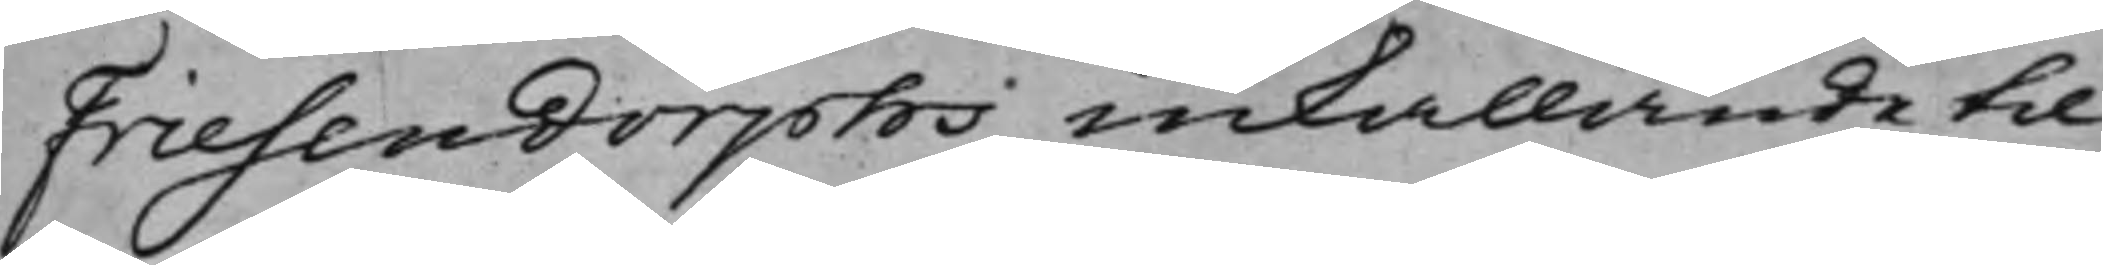Friesendorphs inkallande til
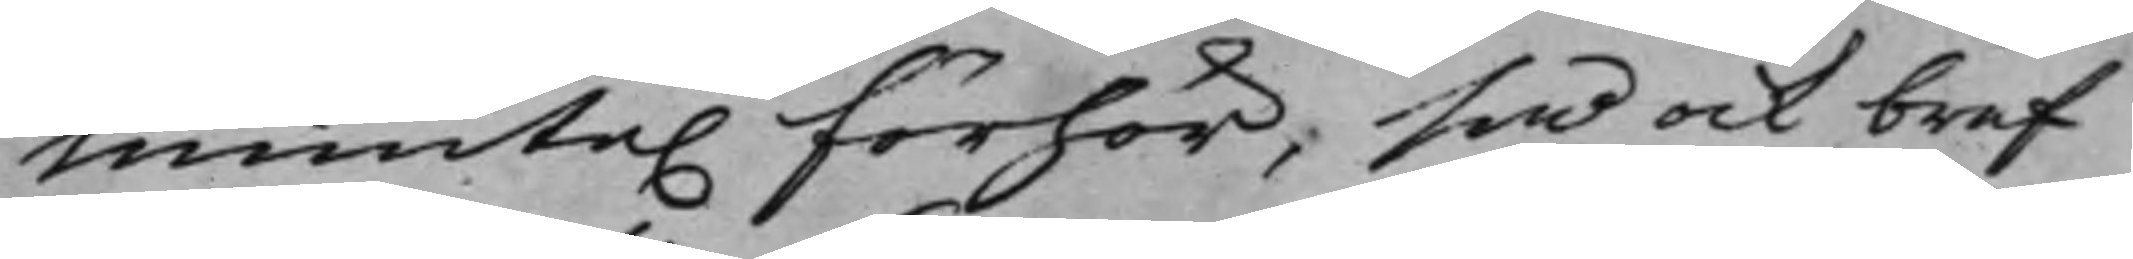munte. förhör, så ock bref
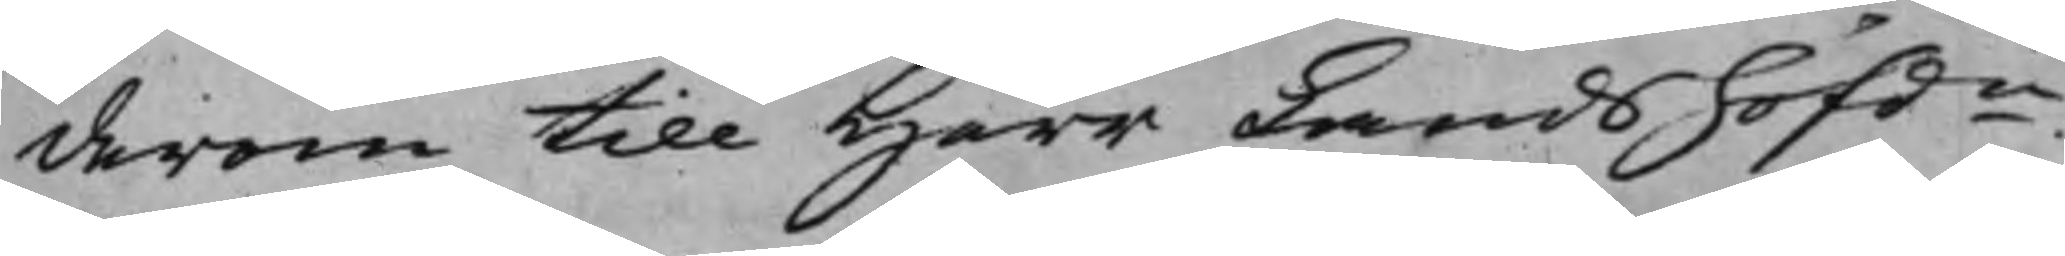derom till Herr Landshöfdn
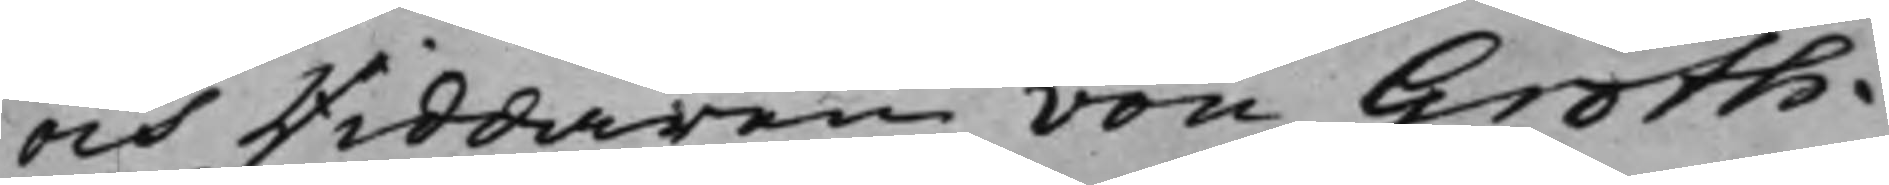och Riddaren von Groth.
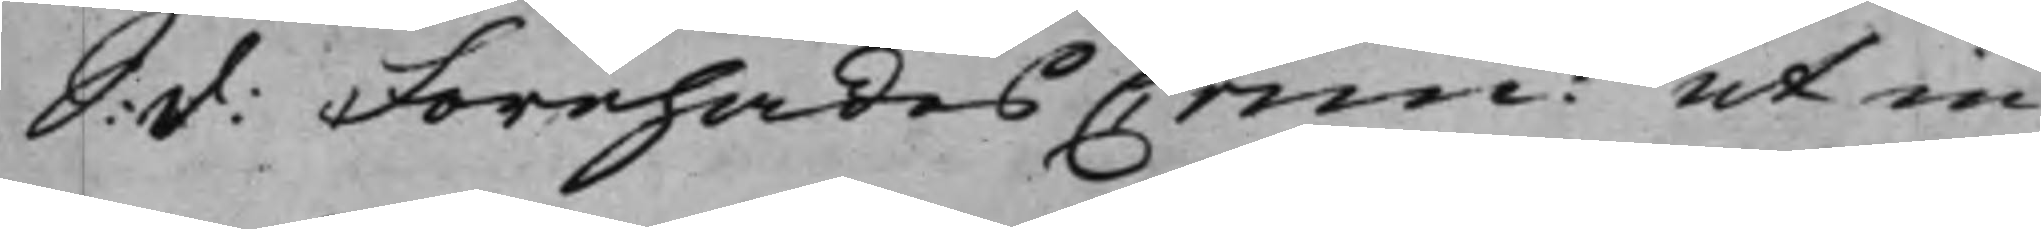S: d: Förehades Crim: ut in
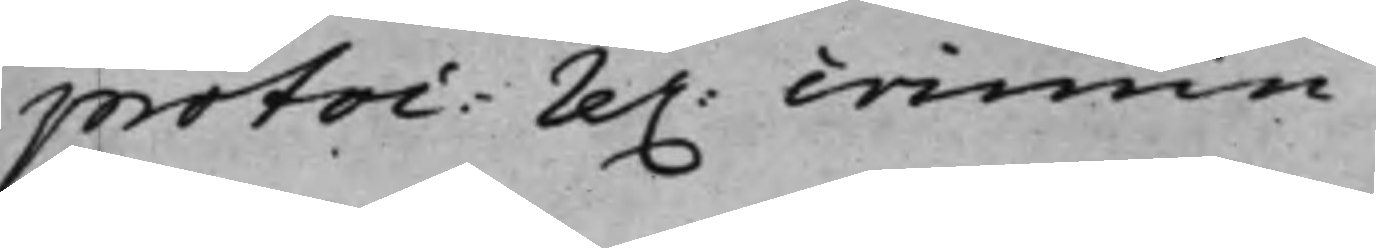protoc: re. crimin:
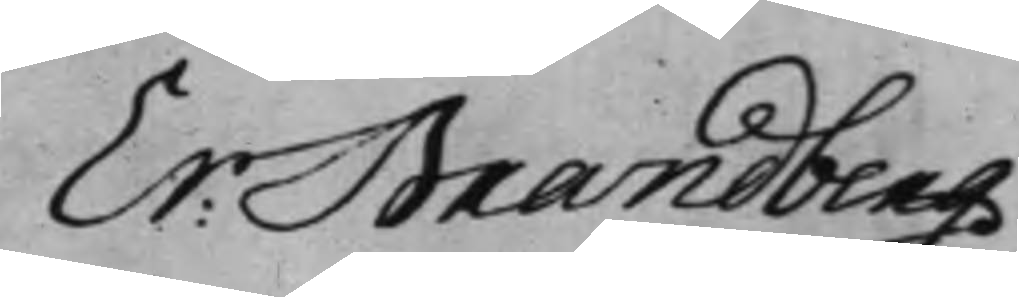Er: Brandberg
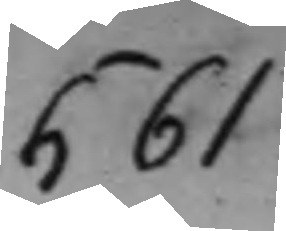561
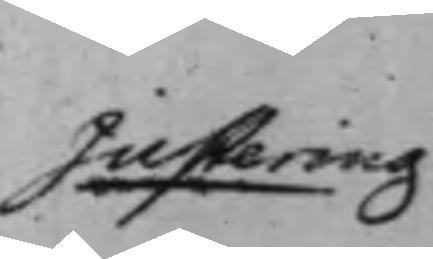Justering.
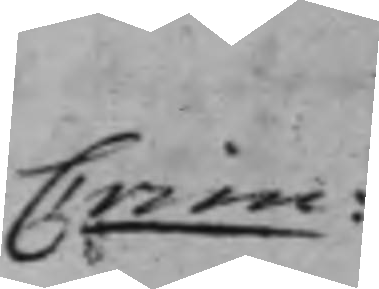Crim:
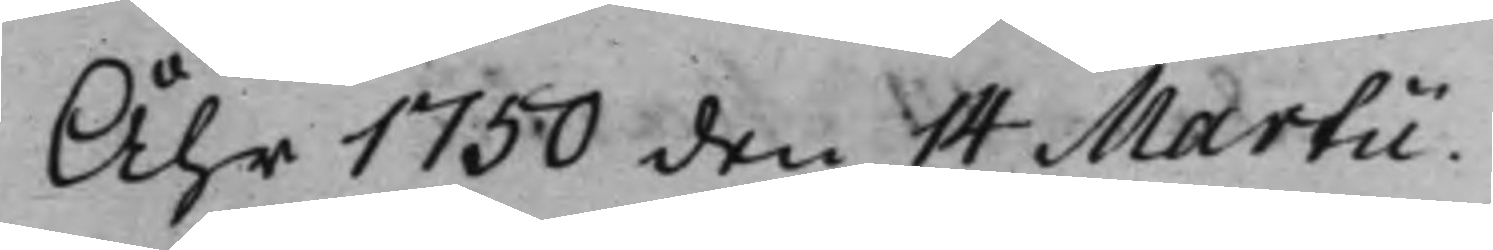Åhr 1750 den 14 Martii.
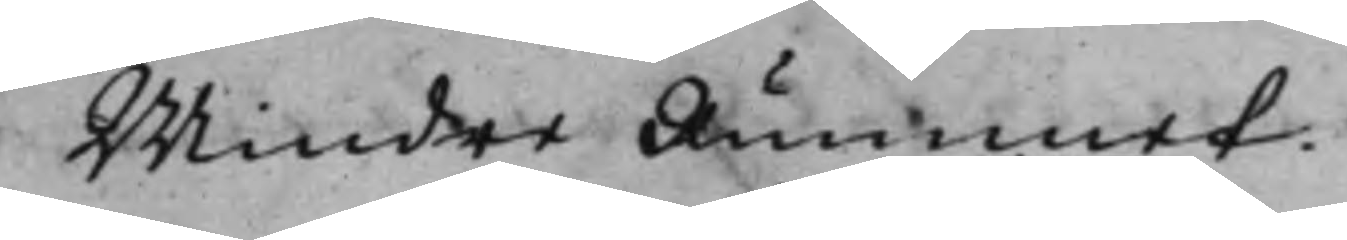Mindre Rummet.
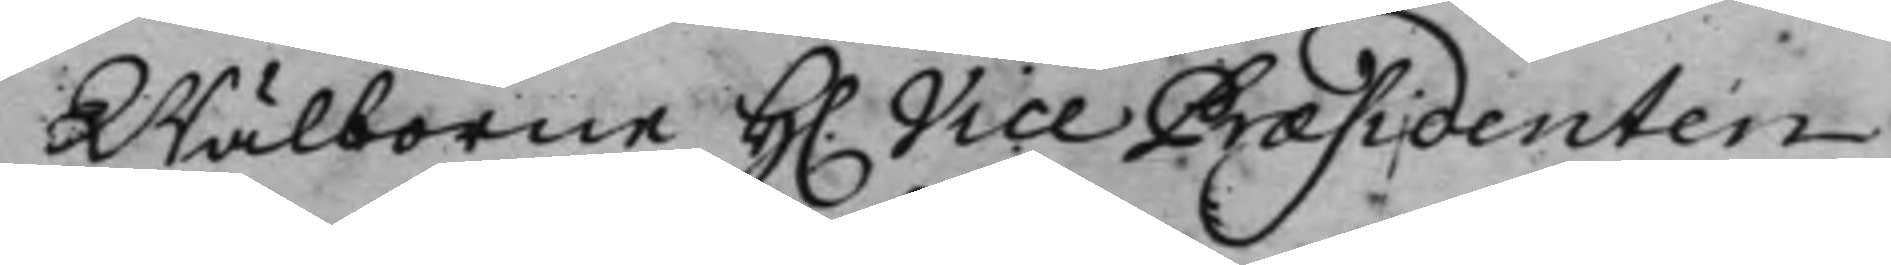Wälborne H. Vice Præsidenten
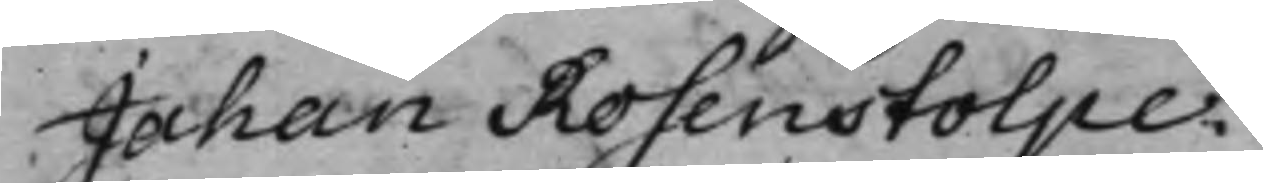Johan Rosenstolpe.
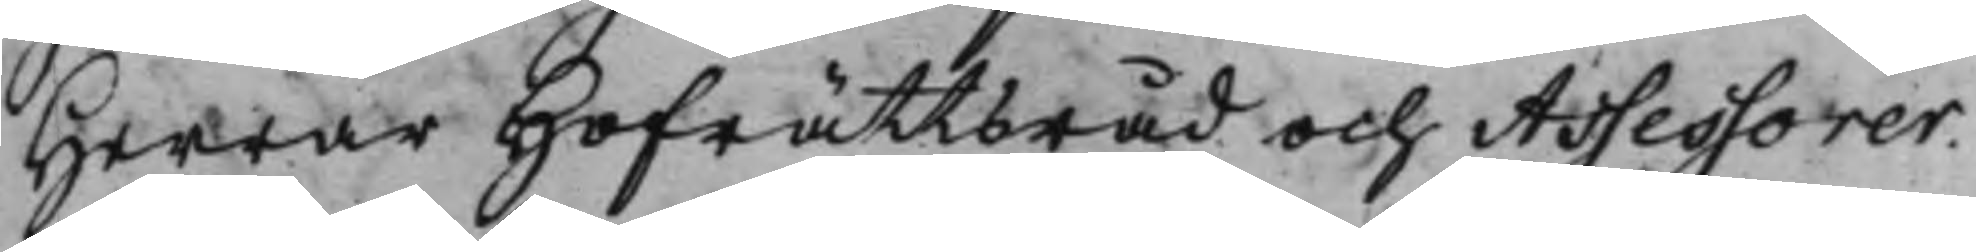Herrar Hofrättsråd och Assessorer.
